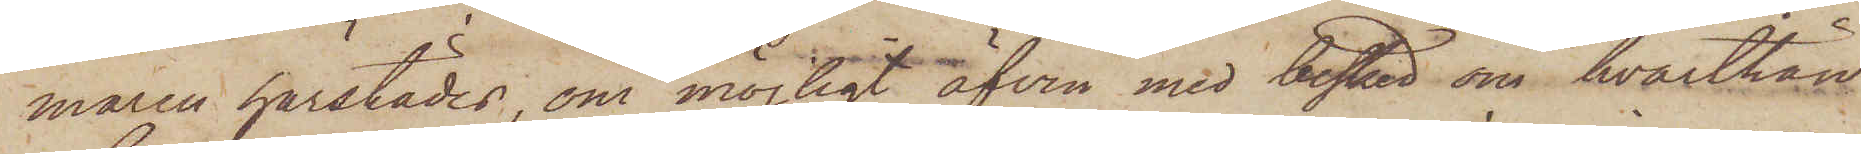maren härstädes, om möjligt äfven med besked om hvarthän
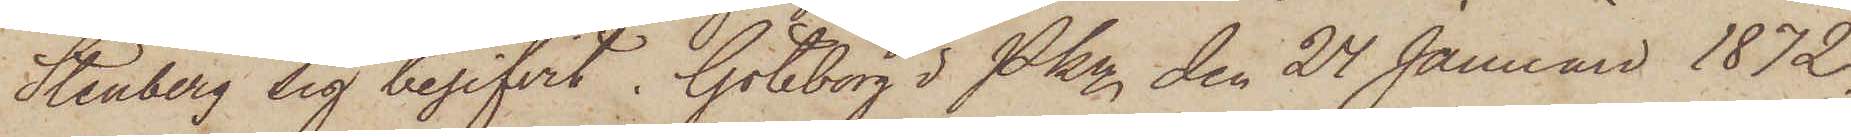Stenberg sig begifvit. Göteborg i Pkn den 24 Januari 1872.
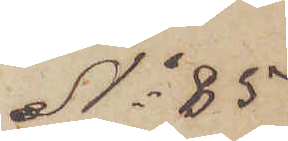No 85
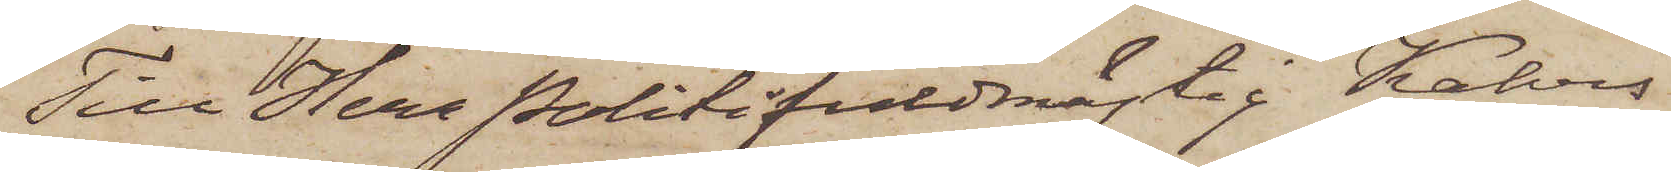Till Herr Politifuldmägtig Kalves
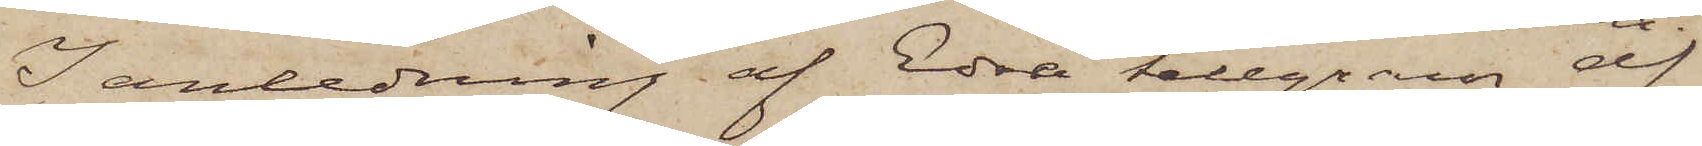I anledning af Edra telegram af
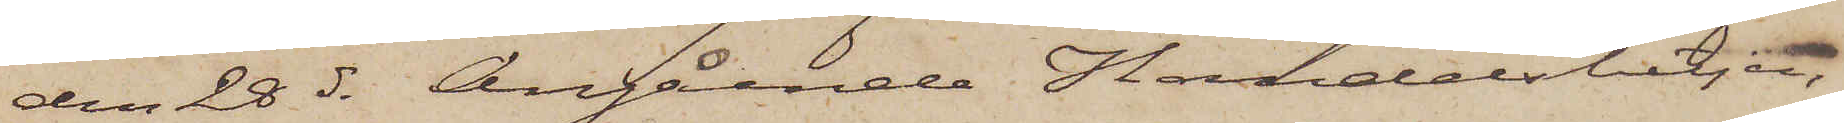den 28 ds angående Handelsbetjen¬
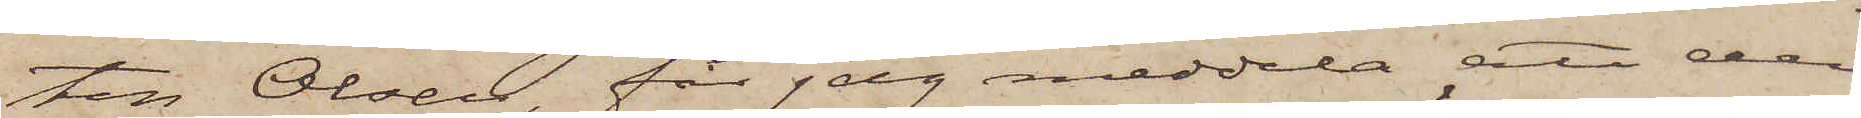ten Olsen, får jag meddela att den
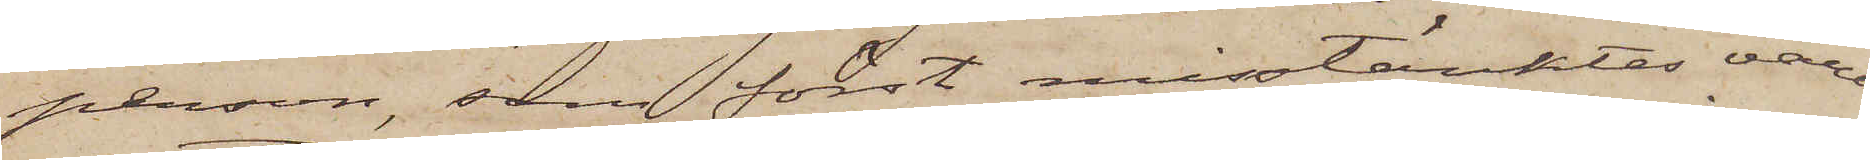person, som först misstänktes vara
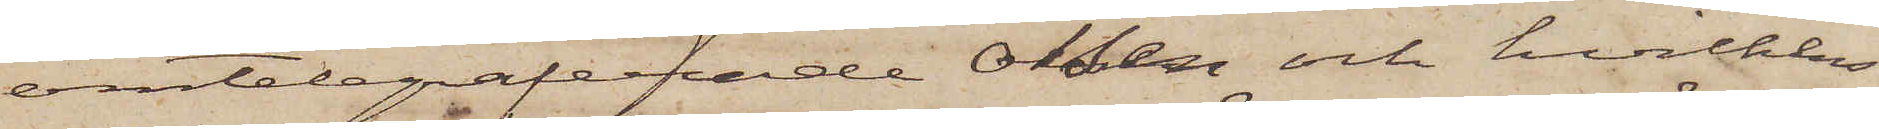omtelegraferade Olsen och hvilkens
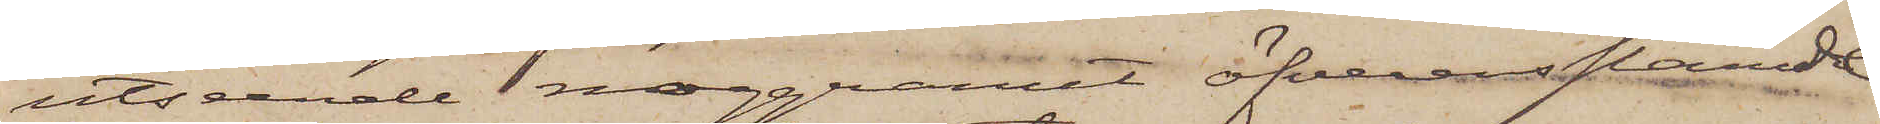utseende noggrannt öfverensstämde
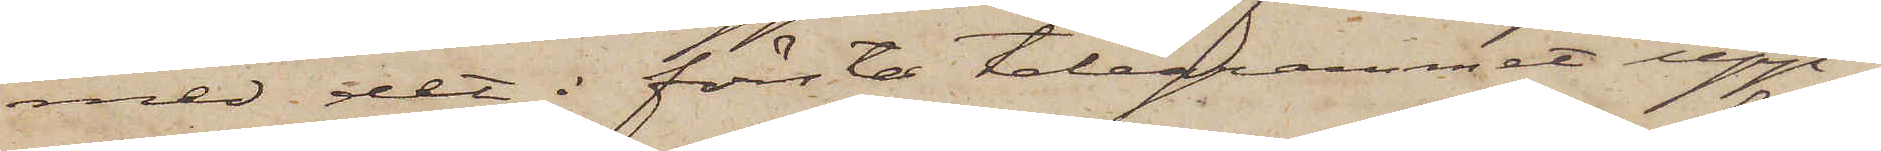med det i första telegrammet upp¬
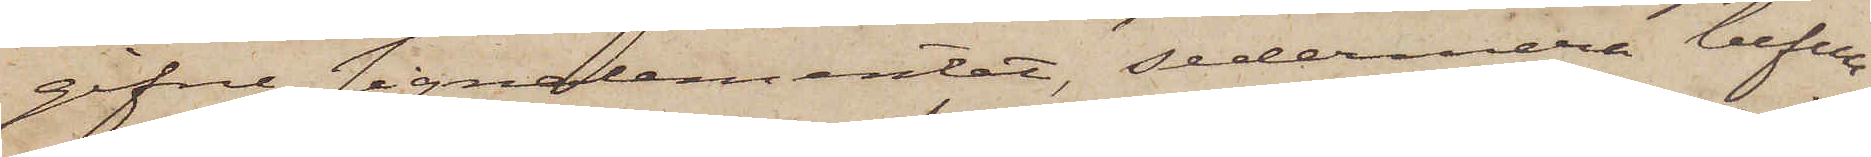gifne signalementet, sedermera befun¬
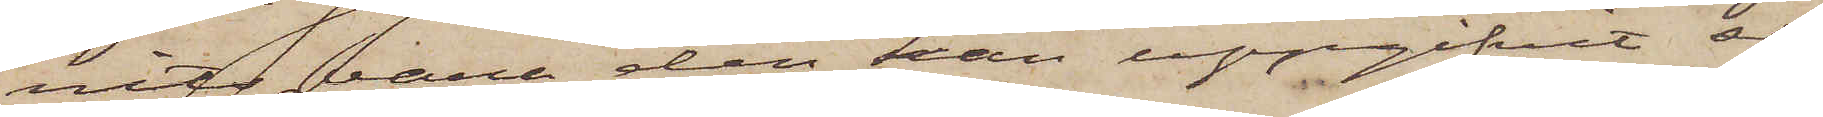vits vara den han uppgifvit sig
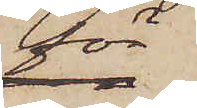för
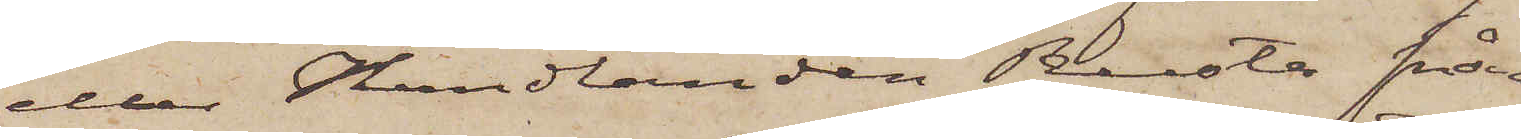eller Handlanden Reesta från
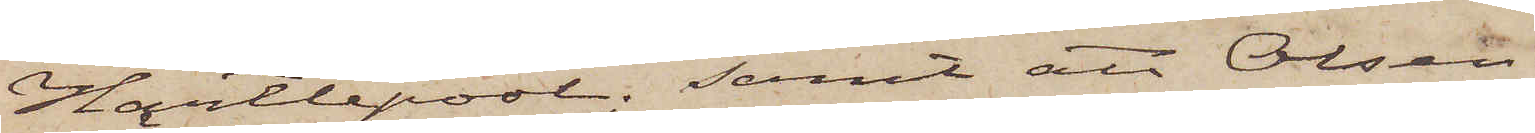Hartlepool; samt att Olsen
